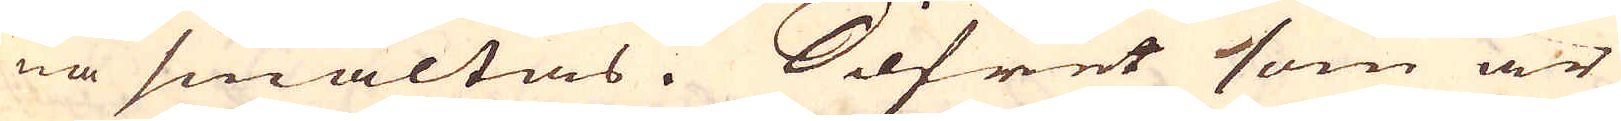na smältas. Silfret som är
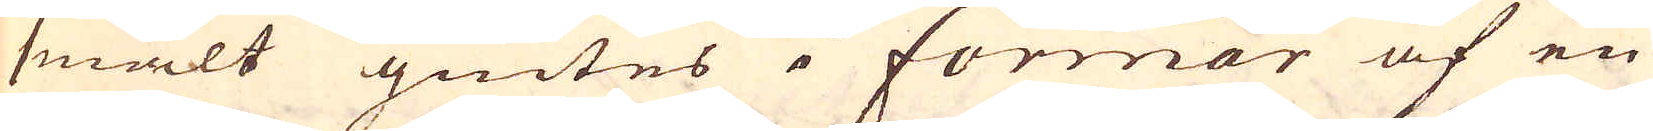smält giutes i formar af en
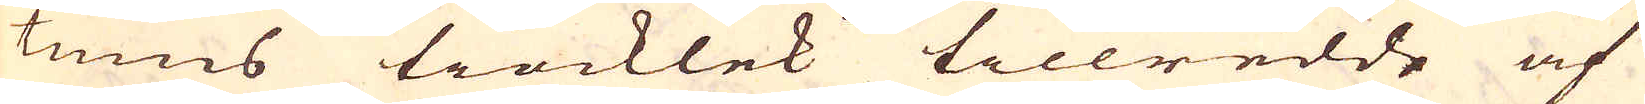tums tiocklek tillredde af
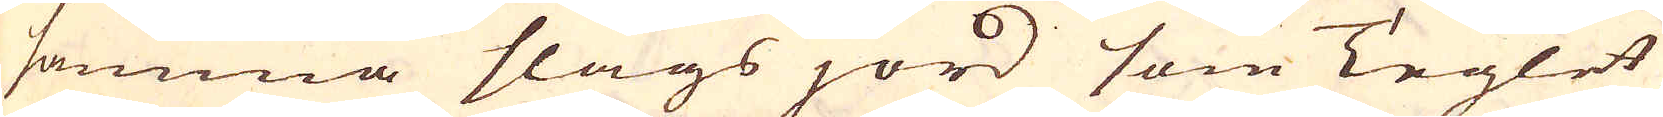samma slags jord som Teglet
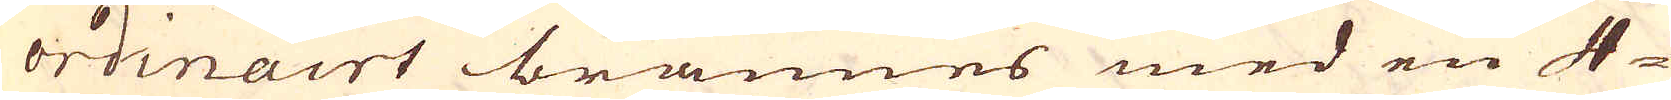ordinairt brännes med en 4-
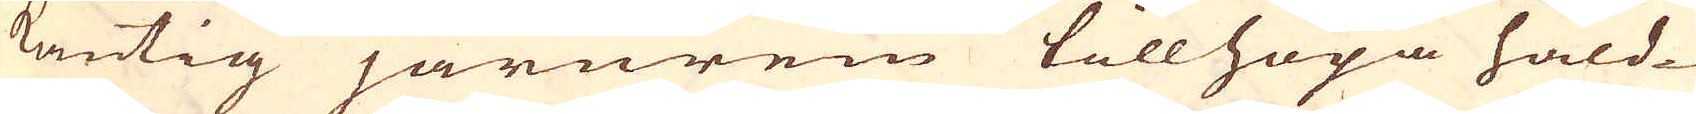kantig järnrem tillhopa håld-
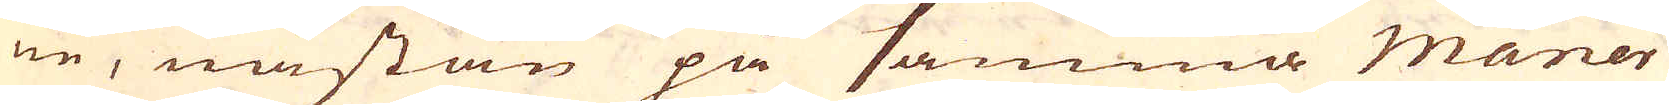ne, nästan på samma maner
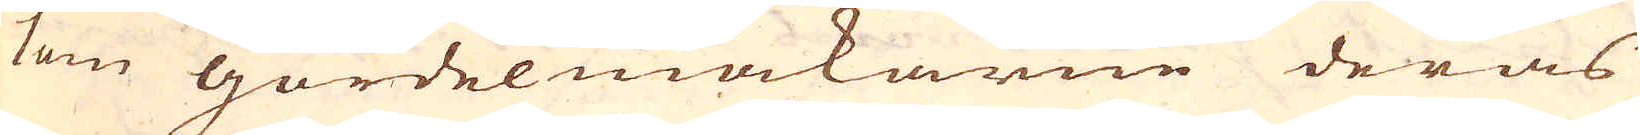kom gördelmakarne deras
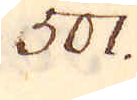501.
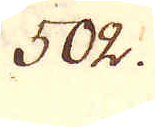502.
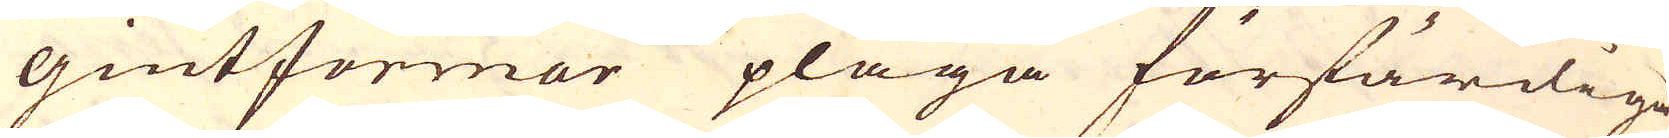giutformor pläga förfärdiga,
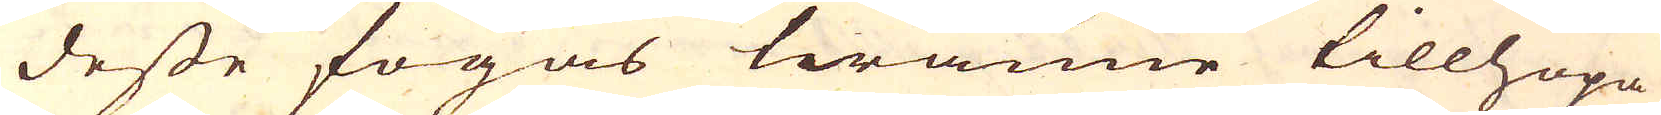desse fogas twänne tillhopa
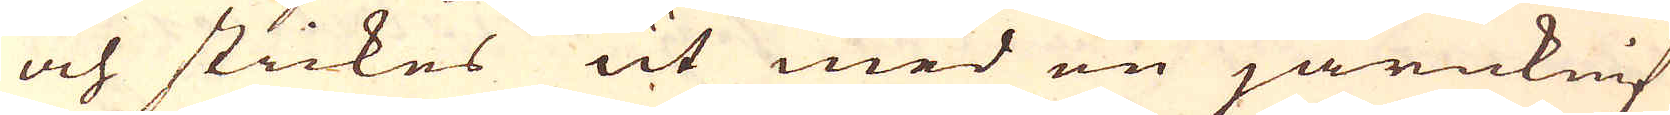och stickes ut med en järnknif
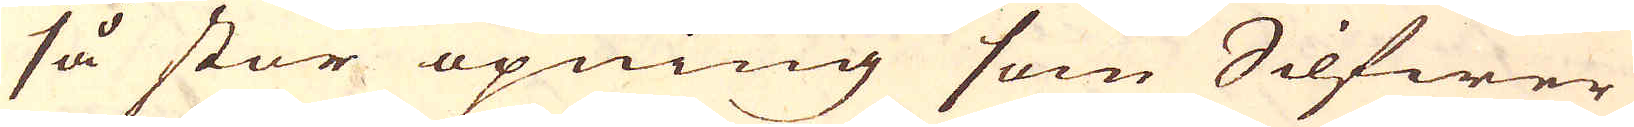så stor öpning som Silfwer
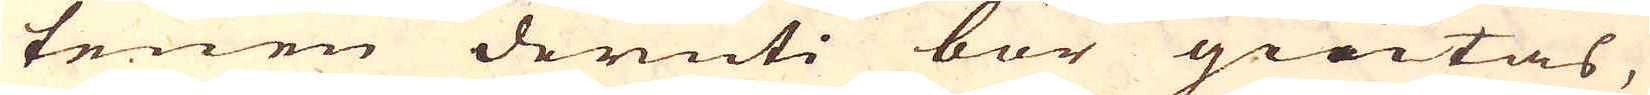tenen deruti bör giutas,
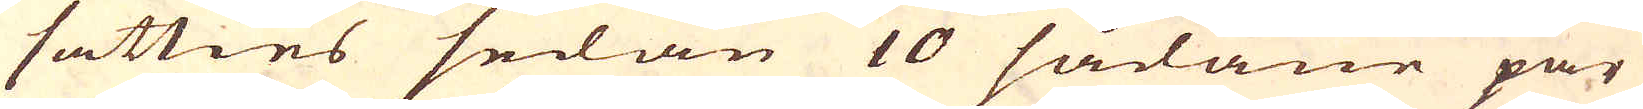sätties sedan 10 sådane par
